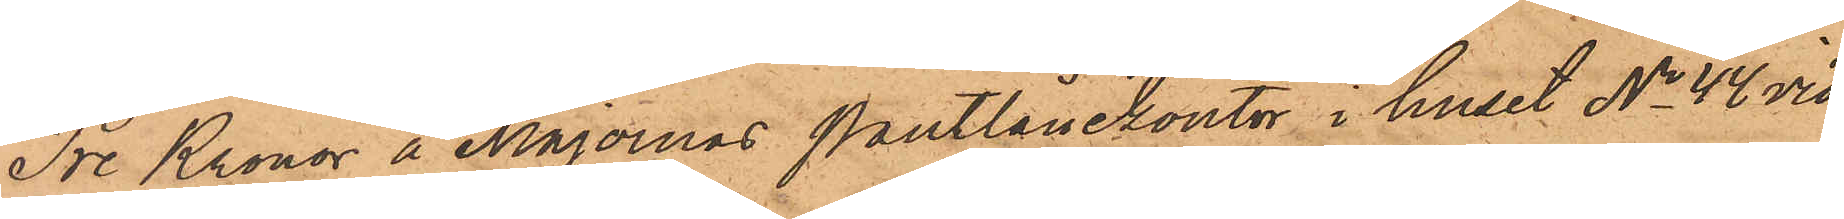Tre Kronor å Majornas Pantlånekontor i huset No 44 vid
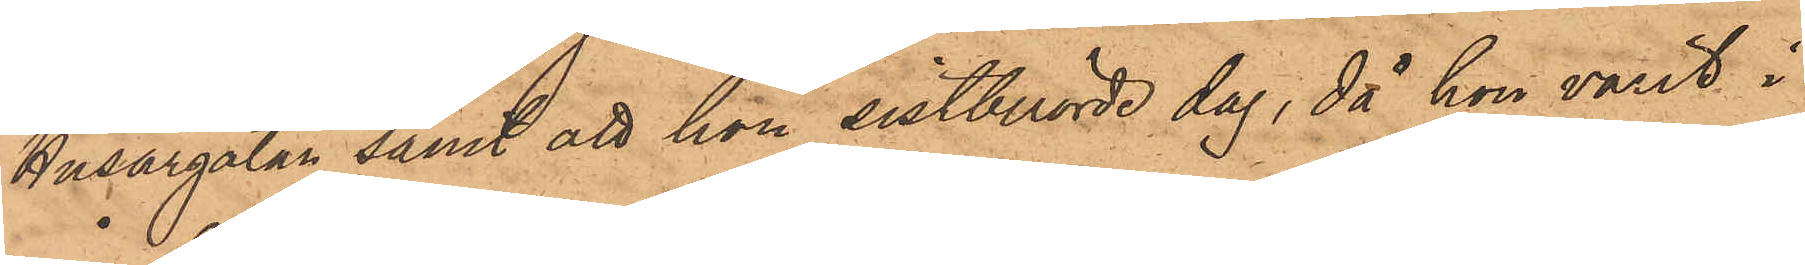Husargatan samt att hon sistberörde dag, då hon varit i
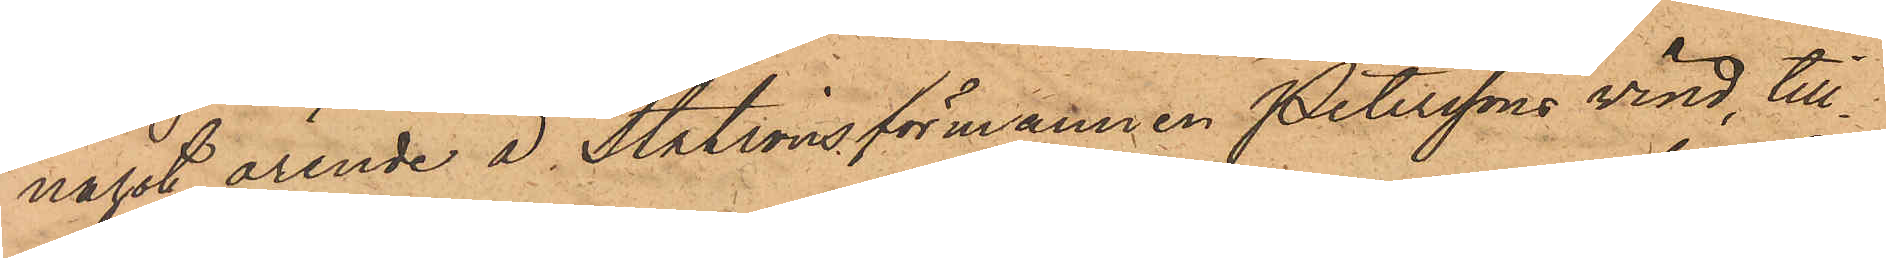något ärende å Stationsförmannen Peterssons vind, till¬
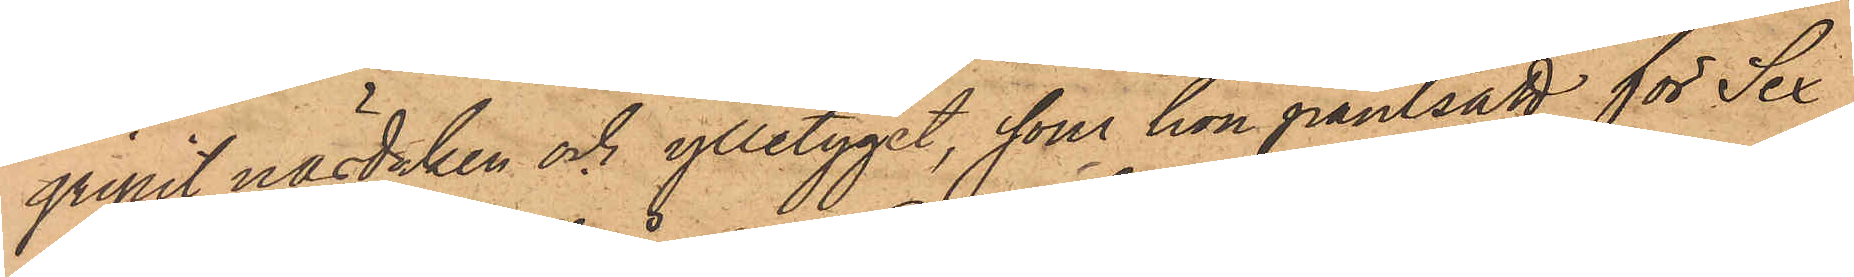gripit näsduken och ylletyget, som hon pantsatt för Sex
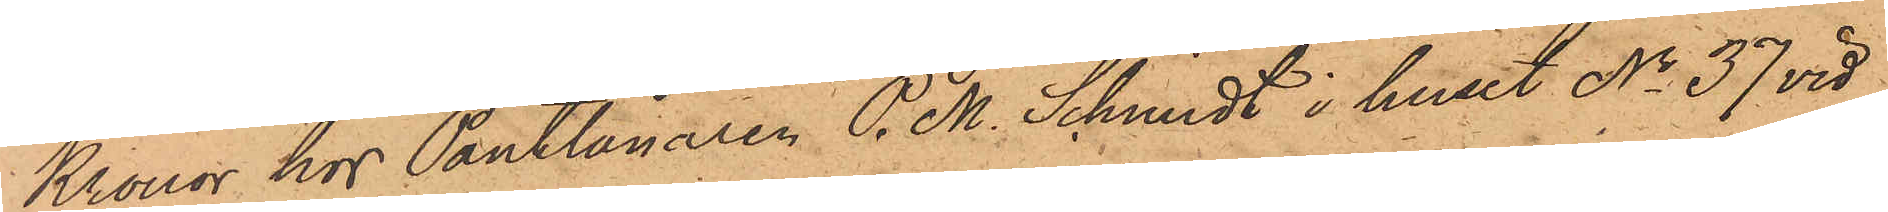Kronor hos Pantlånaren P. M. Schmidt i huset No 37 vid
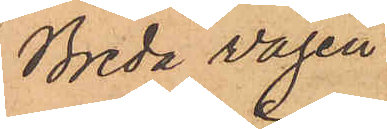Breda vägen.
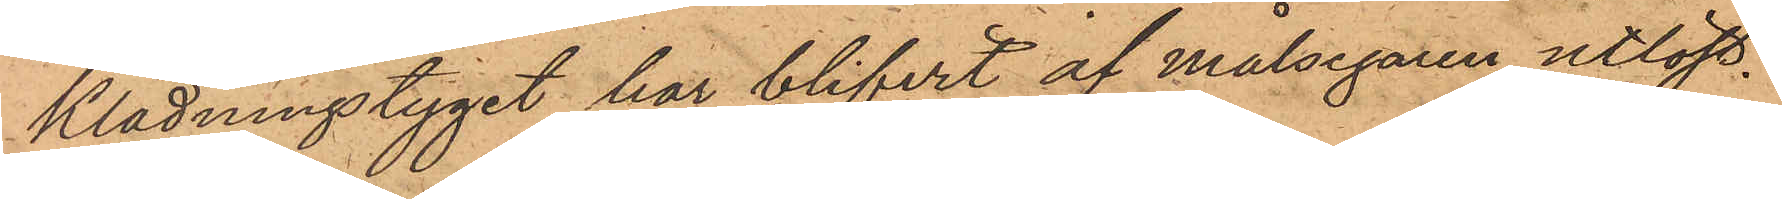Klädningstyget har blifvit af målsegaren utlöst.
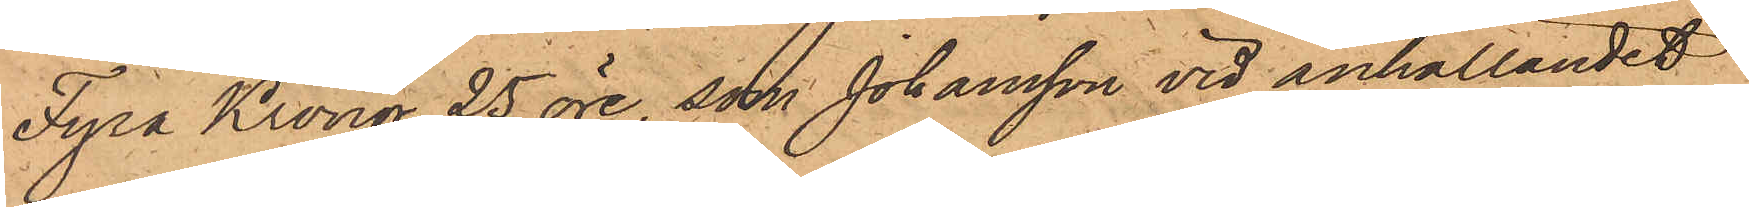Fyra Kronor 25 öre, som Johansson vid anhållandet
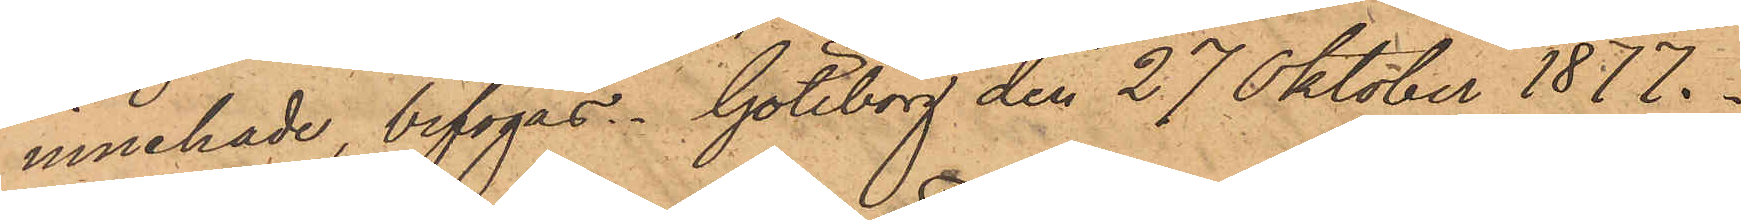innehade, bifogas. Göteborg den 27 Oktober 1877.
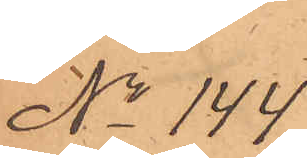No 144.
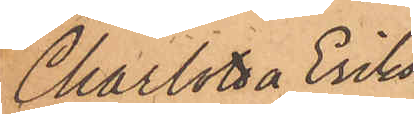Charlotta Eriks¬
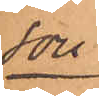son.
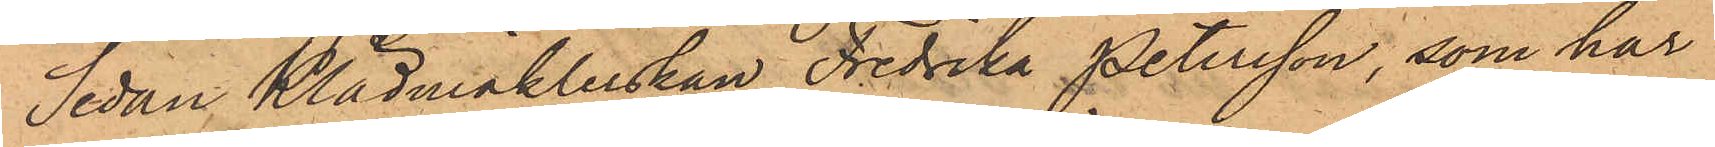Sedan Klädmäklerskan Fredrika Petersson, som har
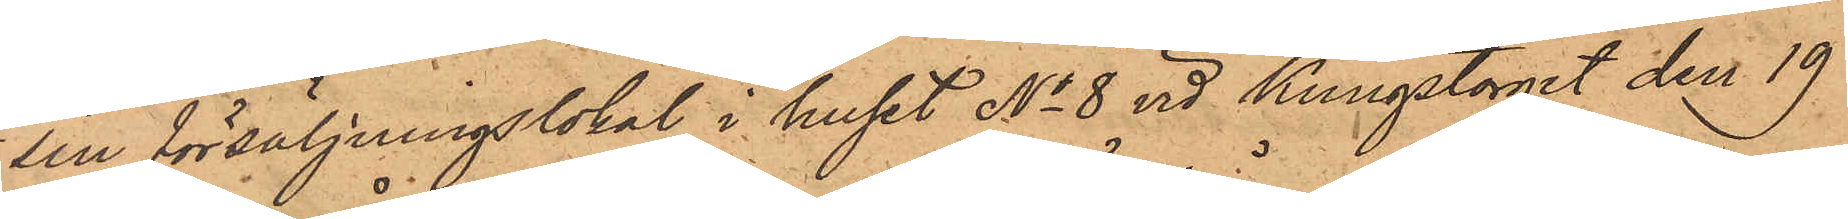sin försäljningslokal i huset No 8 vid Kungstorget den 19
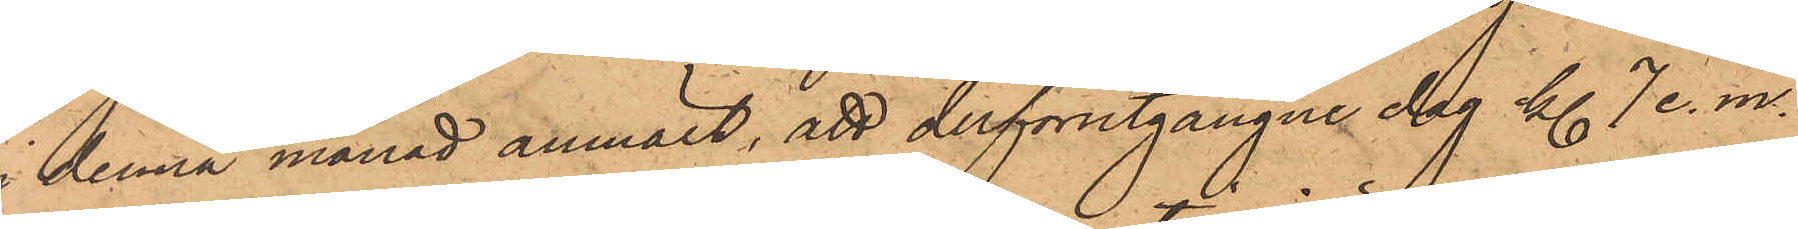i denna månad anmält, att derförutgångne dag kl. 7 e. m.
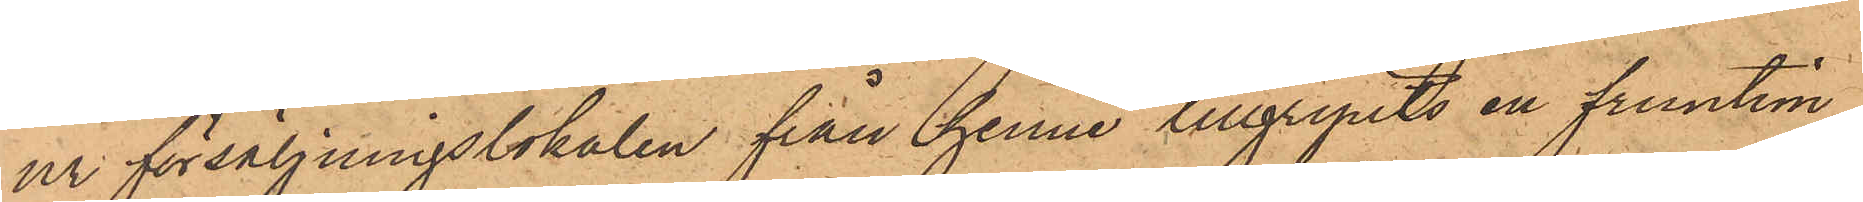ur försäljningslokalen från henne tillgripits en fruntim¬
